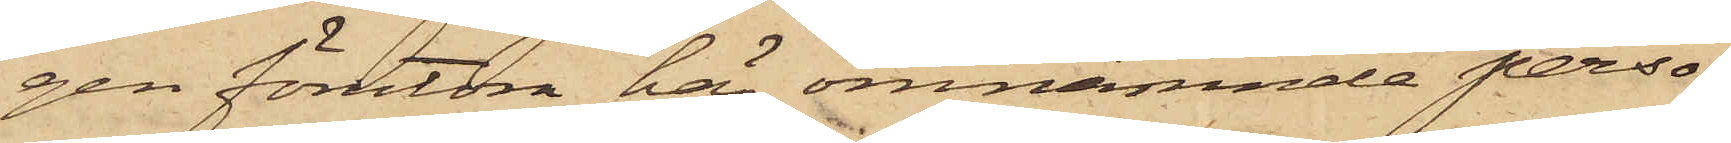gen förutom här omnämnde perso¬
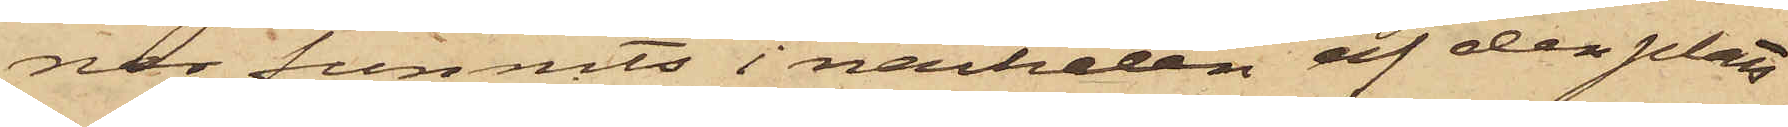ner funnits i närheten af den plats
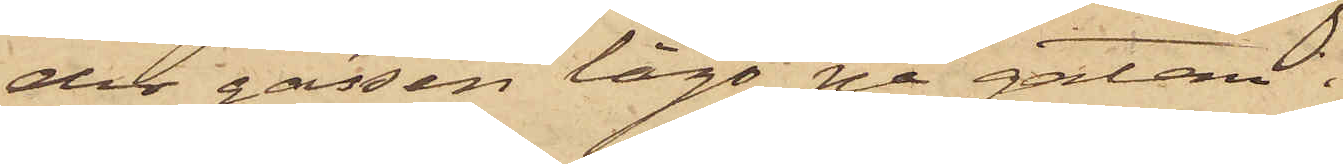der gässen lågo på gatan.
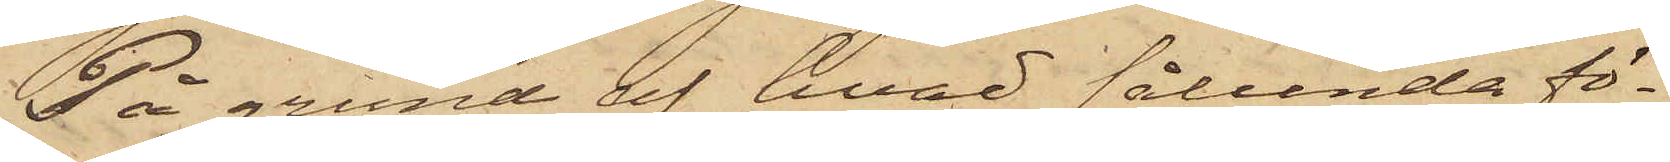På grund af hvad sålunda fö¬
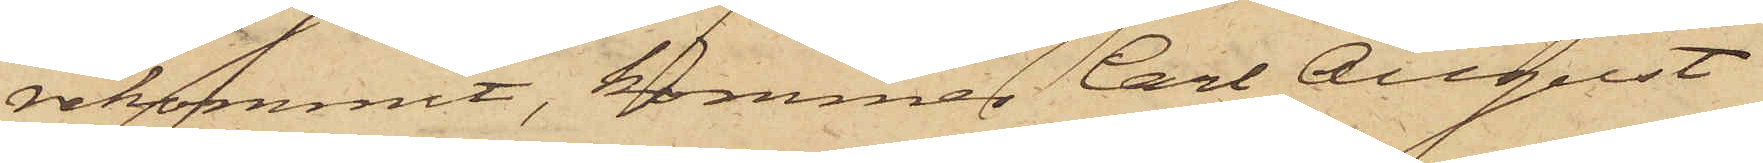rekommit, kommer Carl August
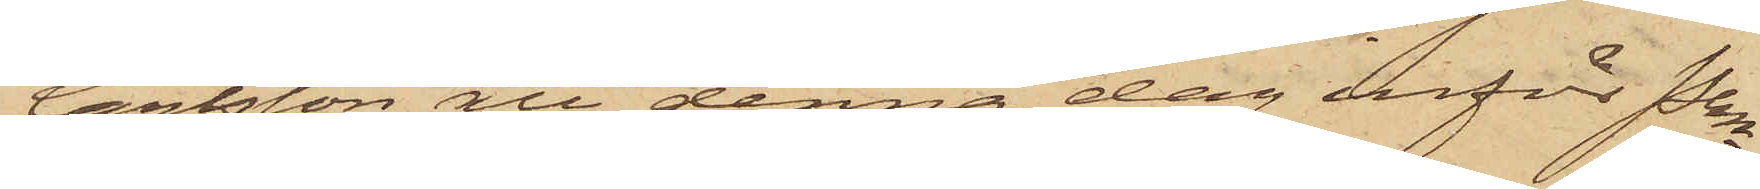Carlsson att denna dag inför Pkn
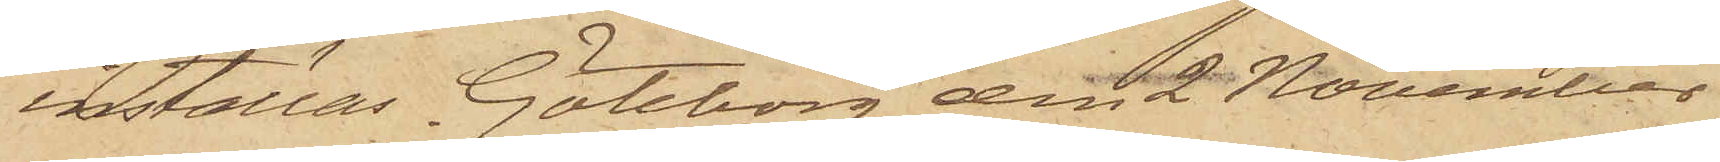inställas. Göteborg den 2 November
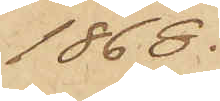1868.
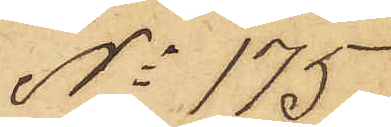No 175.
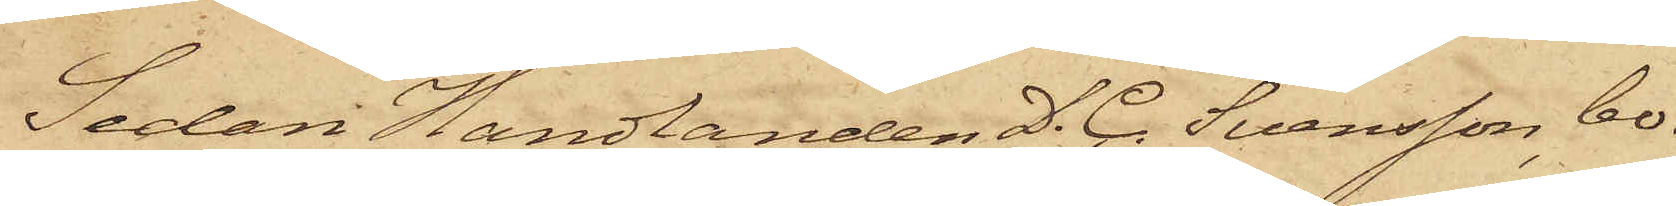Sedan Handlanden D. C. Svensson, bo¬
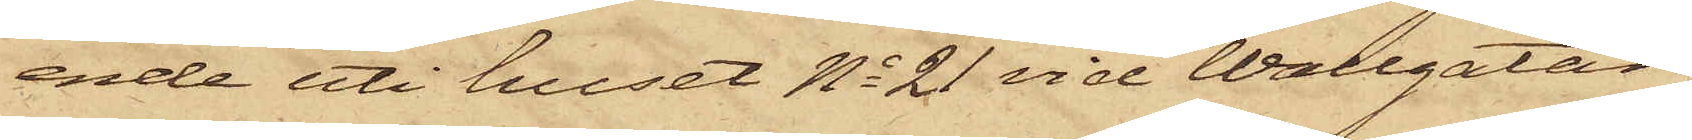ende uti huset No 21 vid Wallgatan,
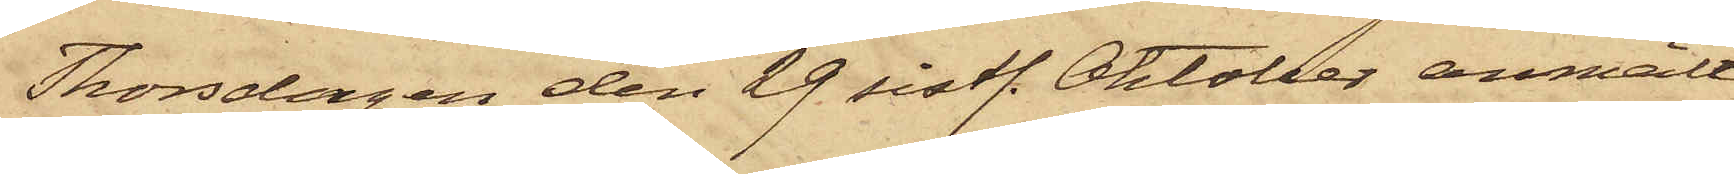Thorsdagen den 29 sistl. Oktober anmält
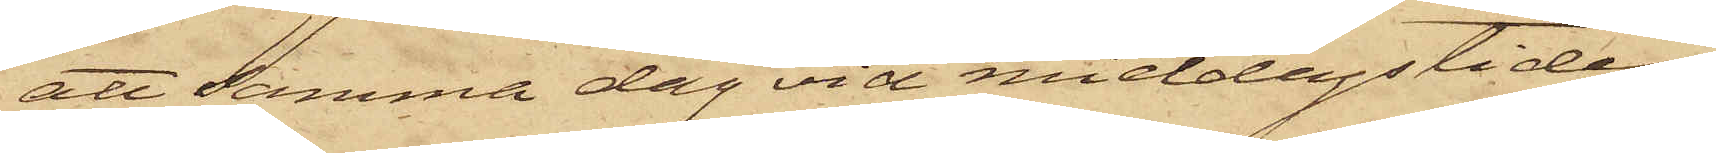att samma dag vid middagstiden
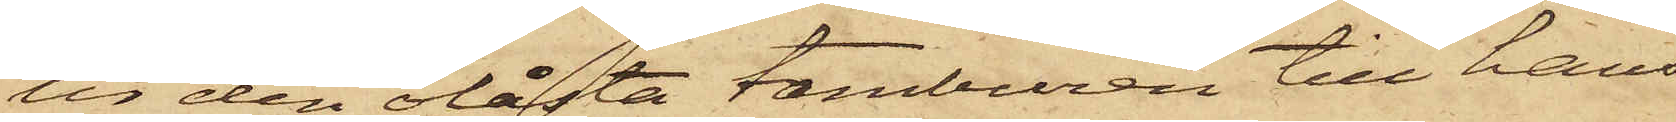ur den olåsta tamburen till hans
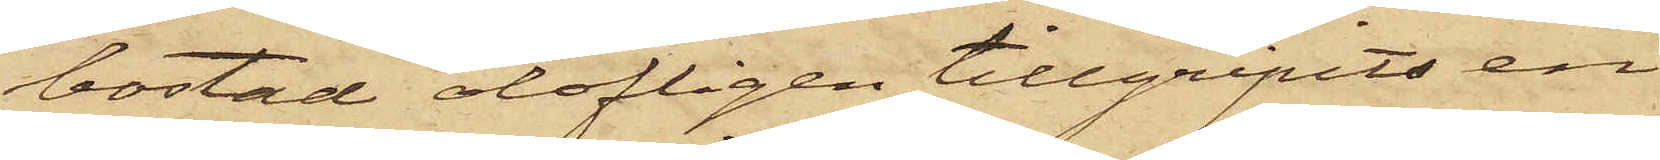bostad olofligen tillgripits en
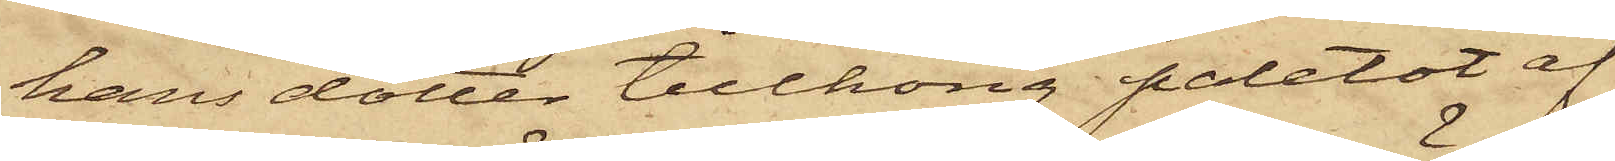hans dotter tillhörig paletot af
